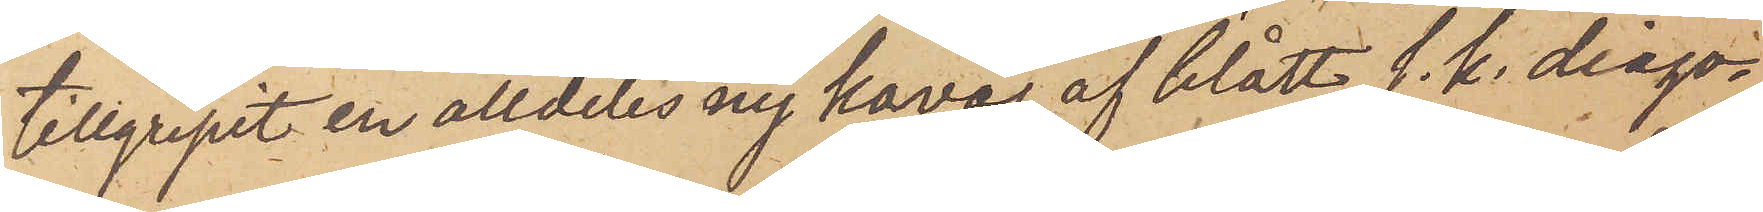tillgripit en alldeles ny kavaj af blått s. k. diago¬
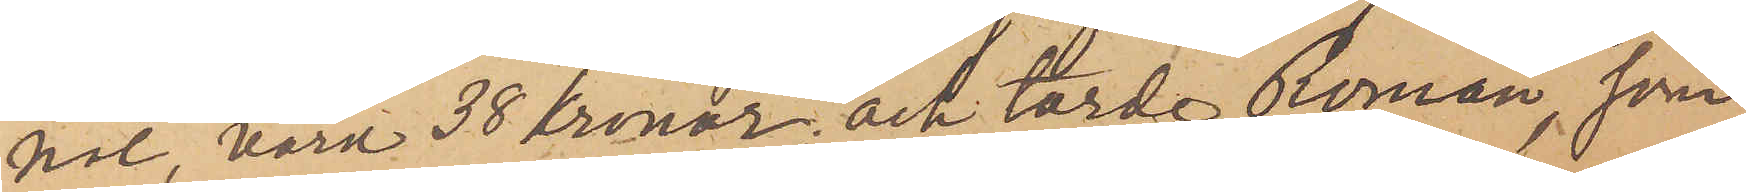nal, värd 38 kronor, och torde Roman, som
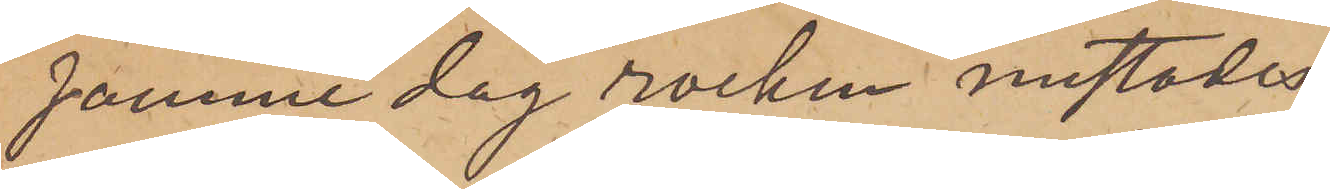samme dag rocken mistades
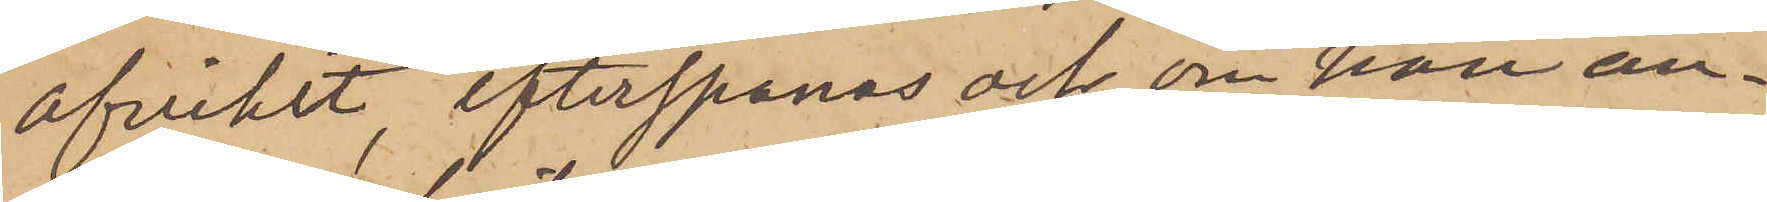afvikit, efterspanas och, om han an¬
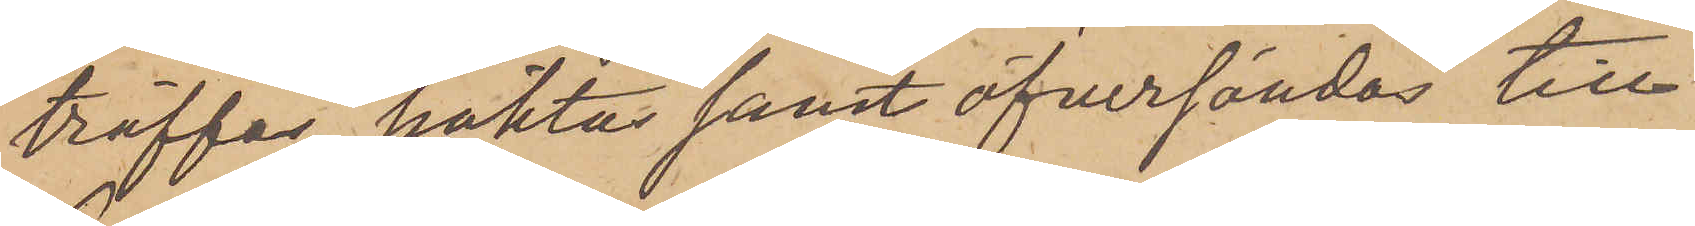träffas, häktas samt öfversändas till
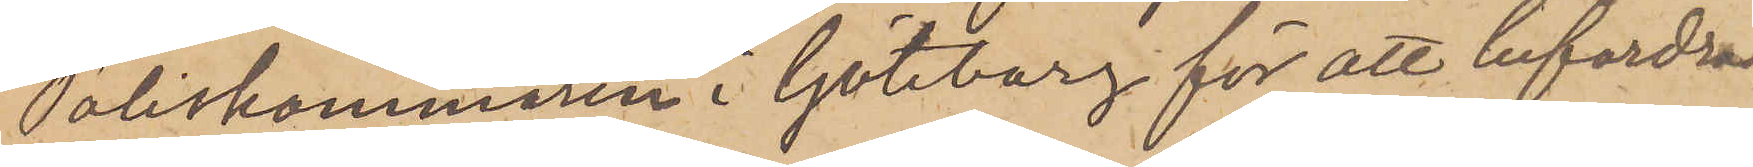Poliskammaren i Göteborg för att befordras
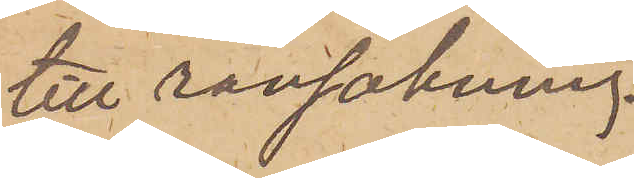till ransakning.
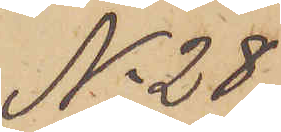No 28
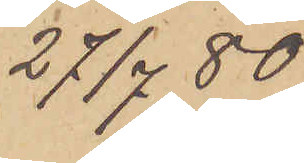27/7  80
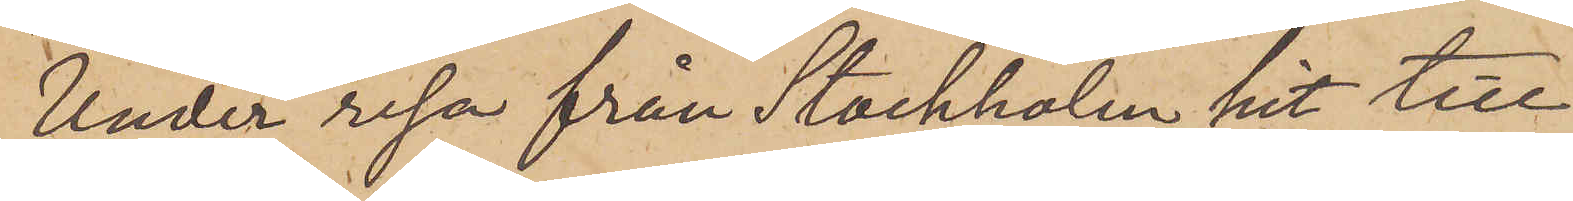Under resa från Stockholm hit till
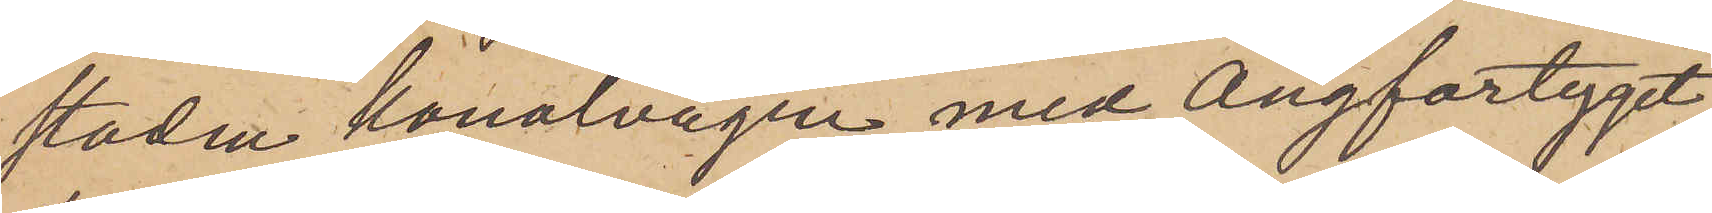staden kanalvägen med Ångfartyget
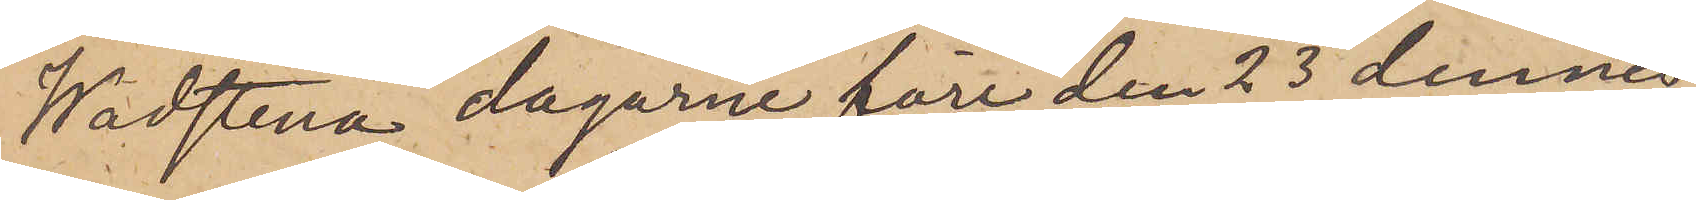Wadstena dagarne före den 23 dennes
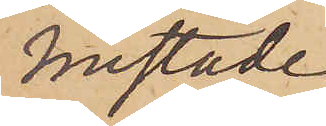mistade
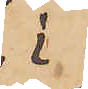i
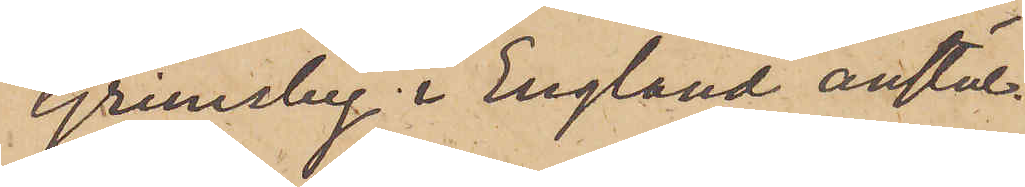Grimsby i England anstäl¬
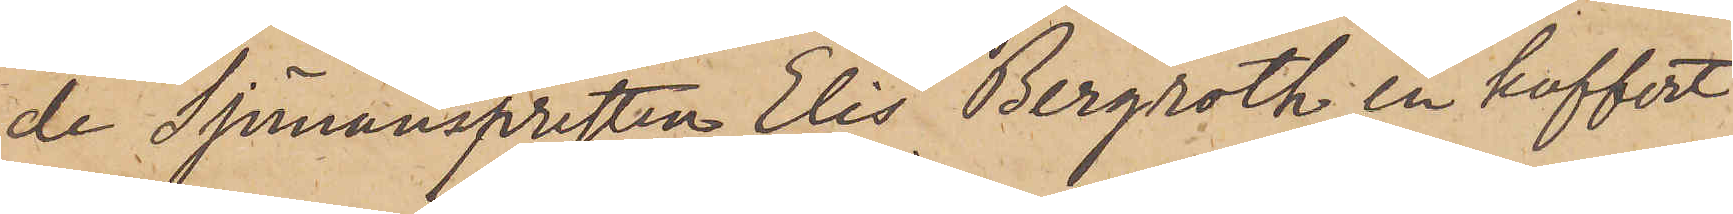de Sjömansprästen Elis Bergroth en koffert
